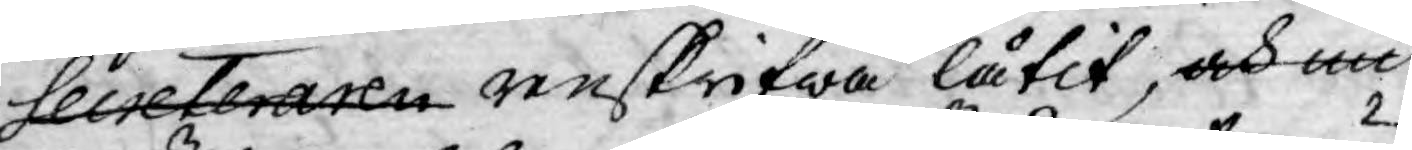Secreteraren renskrifwa låtit, och nu
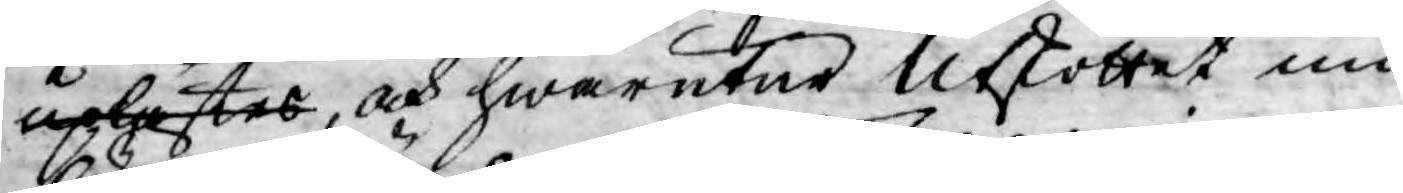uplästes, och hwarutur Utskottet nu
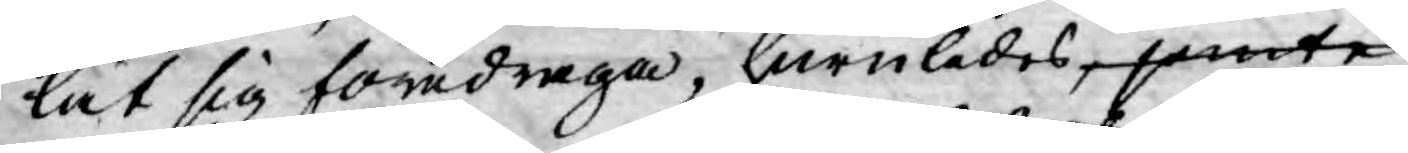lät sig föredraga, huruledes, jemte
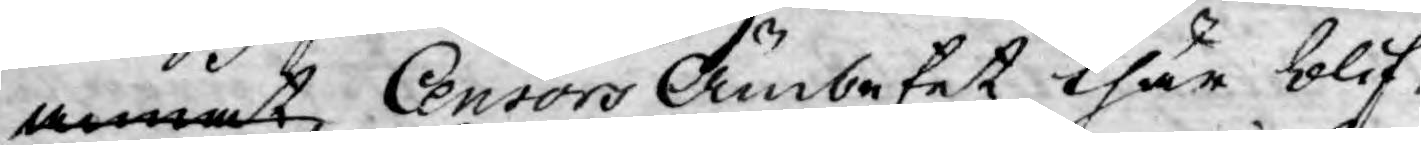annat Censors Ämbetet thär blif¬
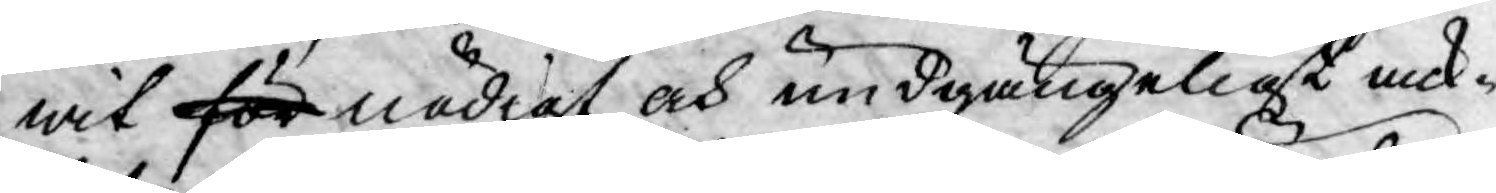wit för nödigt och undgängeligt ack-
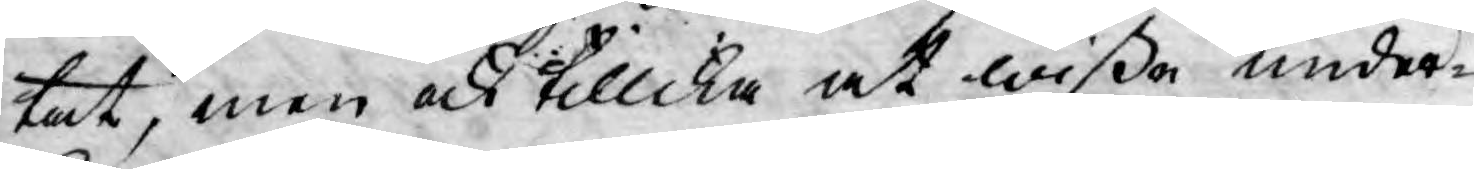tat, men ock tillika at wißa under¬
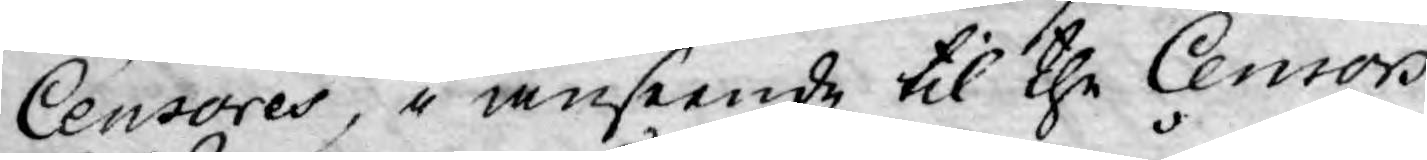Censores, i anseende til the Censors
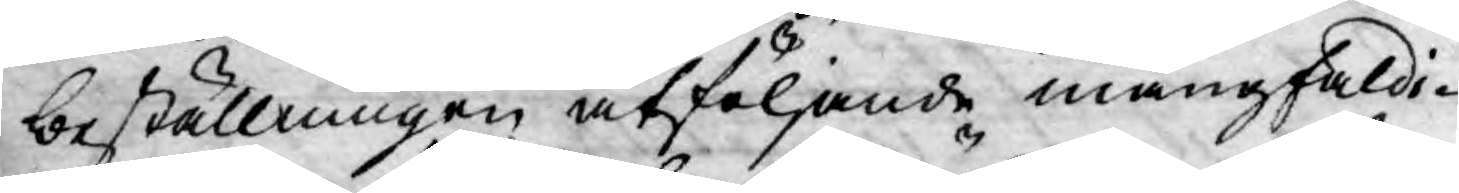beställningen åtföljande mångfaldi-
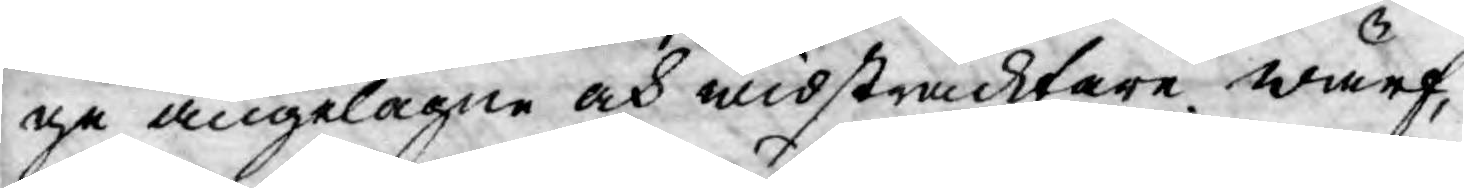ge angelägne och widsträcktare wärf,
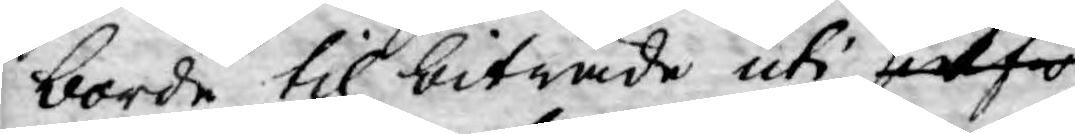borde til biträde uti sielfwa
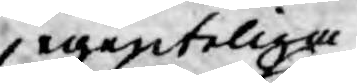egenteliga
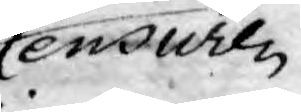Censuren
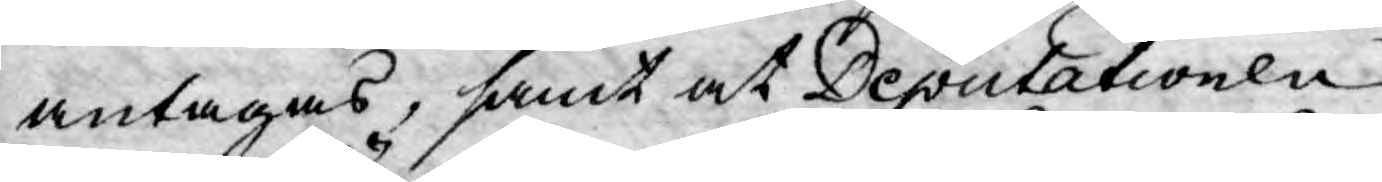antagas, samt at Deputationen
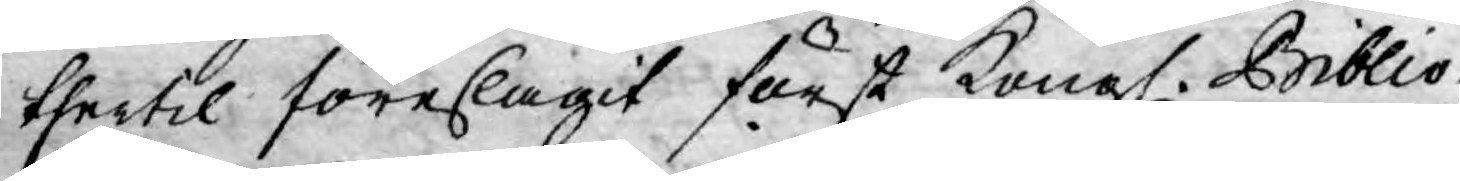thertil föreslagit först Kongl. Biblio¬
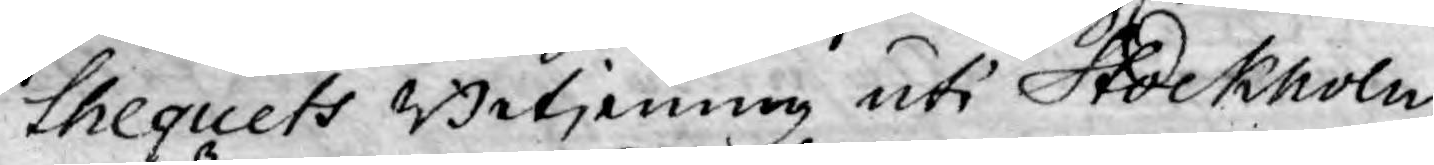thequets Betjening uti Stockholm,
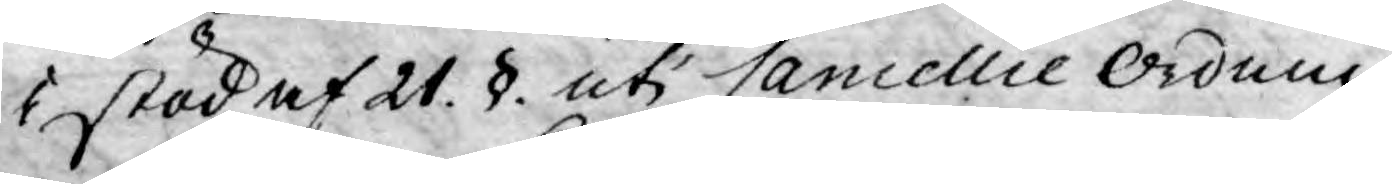i stöd af 21. §. uti Cancellie Ordnin¬
